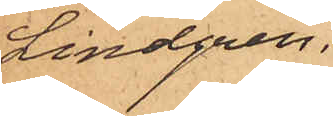Lindgren.
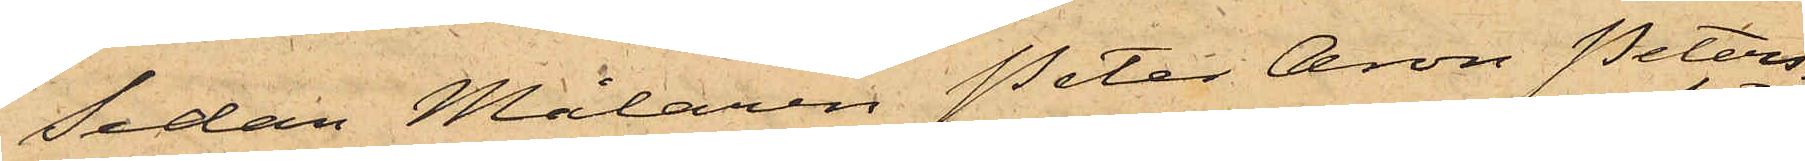Sedan Målaren Peter Aron Peters¬
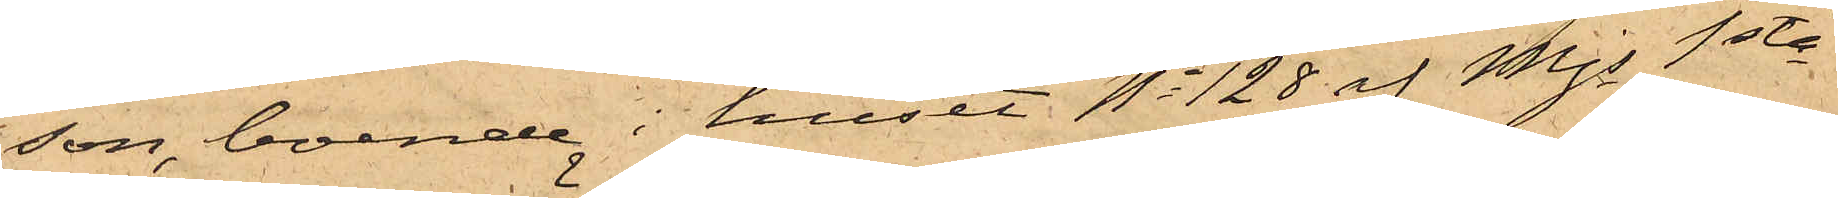son, boende i huset No 128 af Mjs 1sta
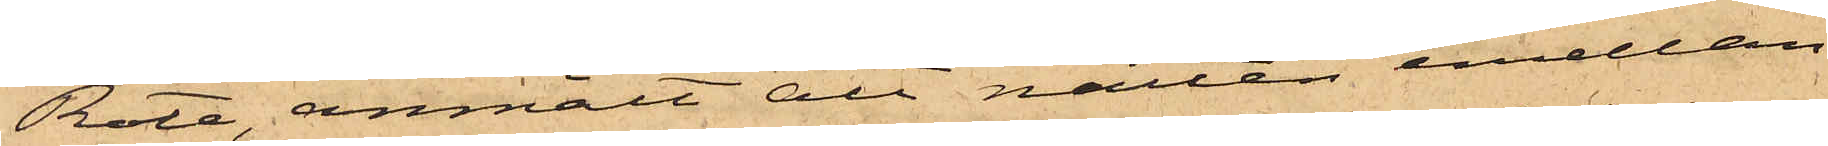Rote, anmält att natten emellan
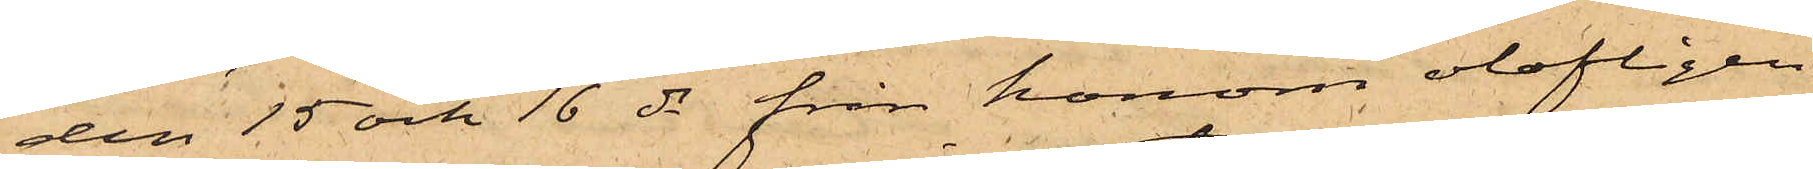den 15 och 16 ds från honom olofligen
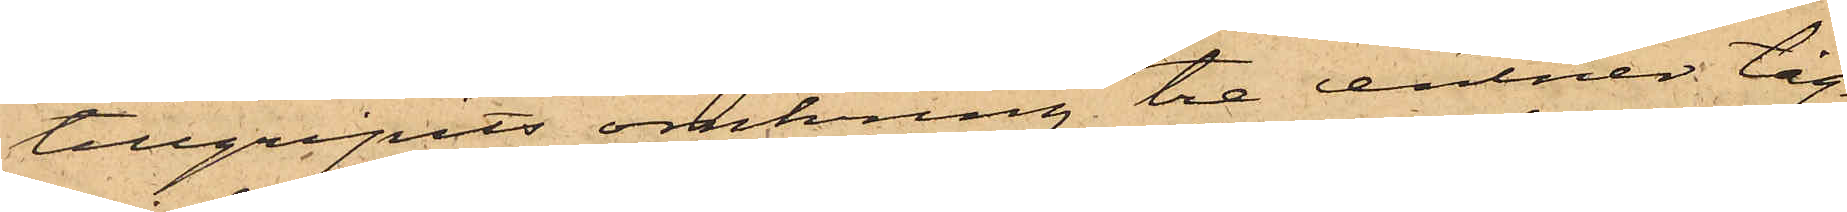tillgripits omkring tre centner tåg¬
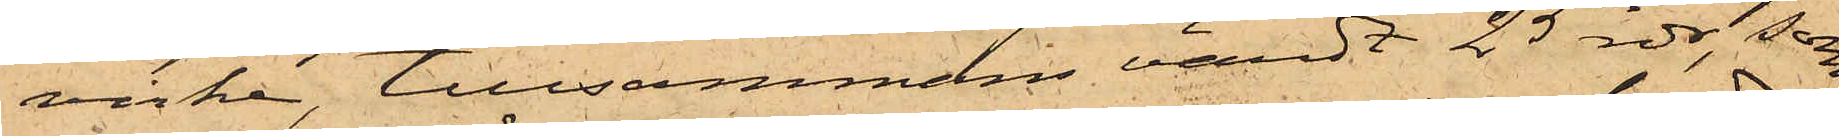virke, tillsammans värdt 25 rdr, som
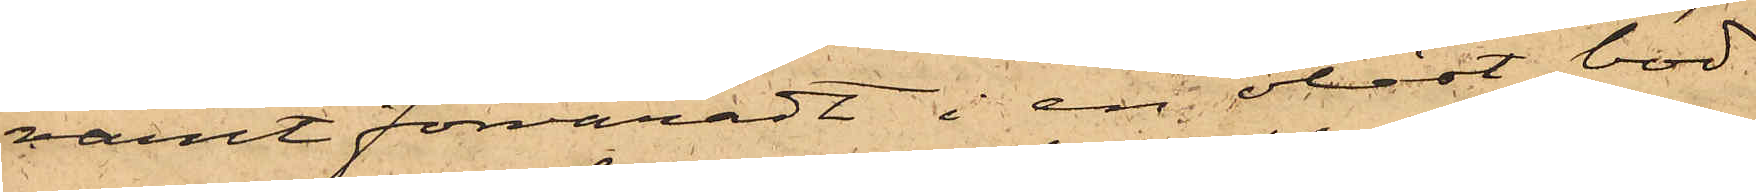varit förvaradt i en olåst bod
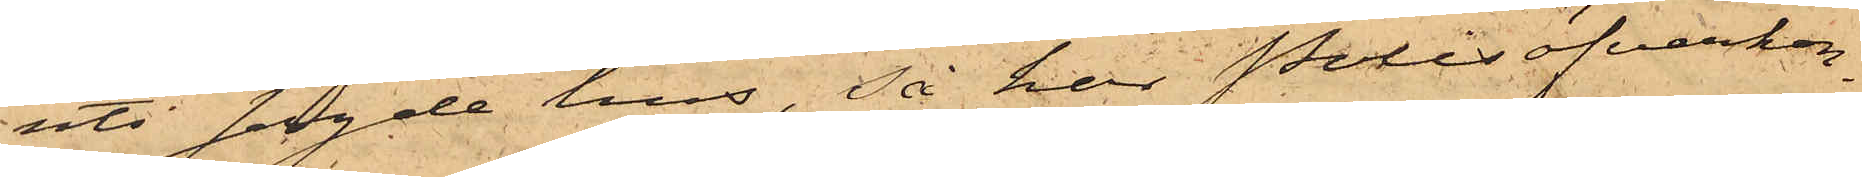uti sagde hus, så har Polisöfverkon¬
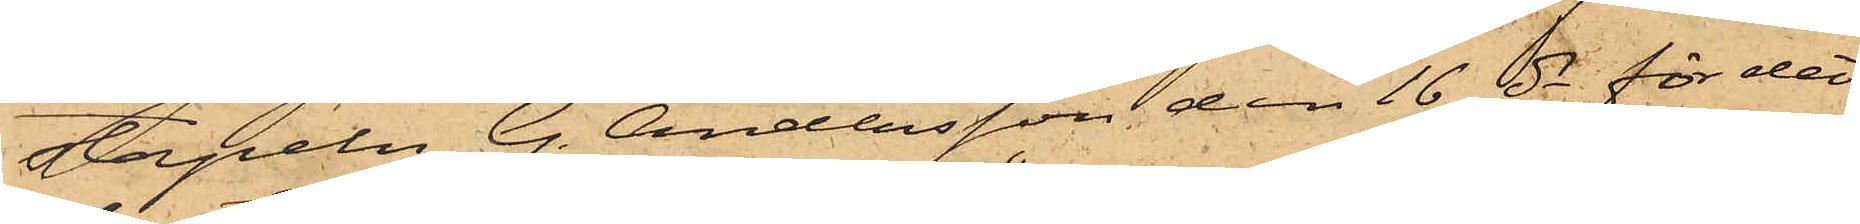stapeln G. Andersson den 16 ds för det¬
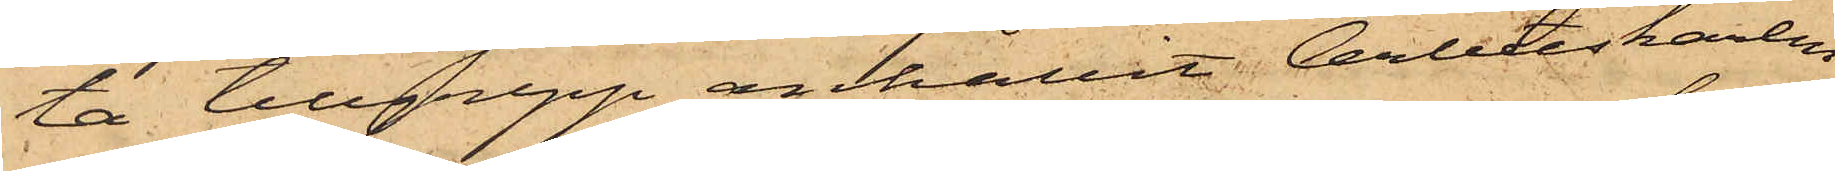ta tillgrepp anhållit Arbetskarlen
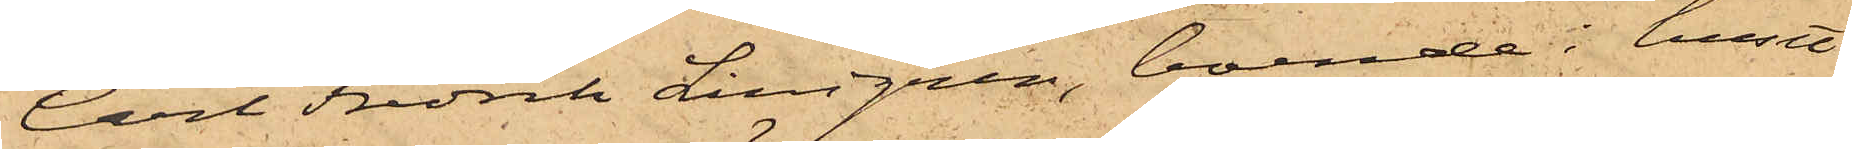Carl Fredrik Lindgren, boende i huset
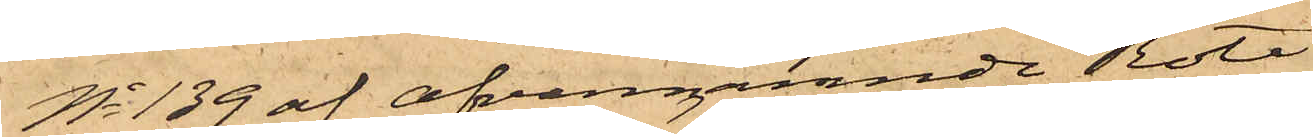No 139 af ofvannämnde Rote.
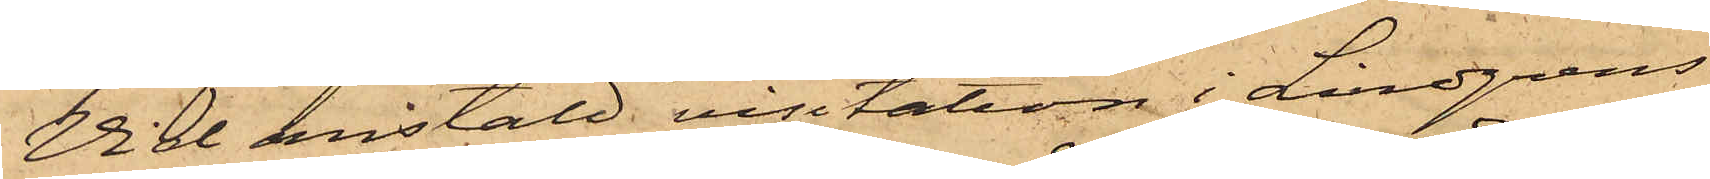Vid anstäld visitation i Lindgrens
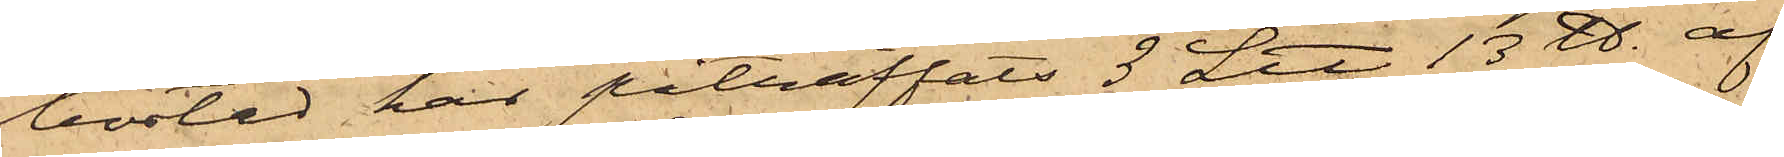bostad har påträffats 3 L℔ 13 ℔. af
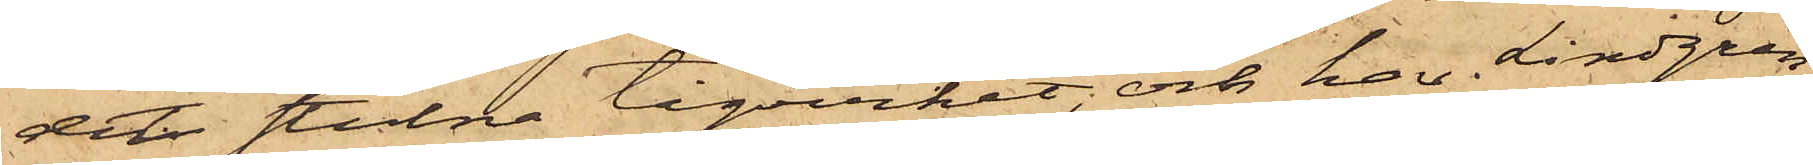det stulna tågvirket och har Lindgren
